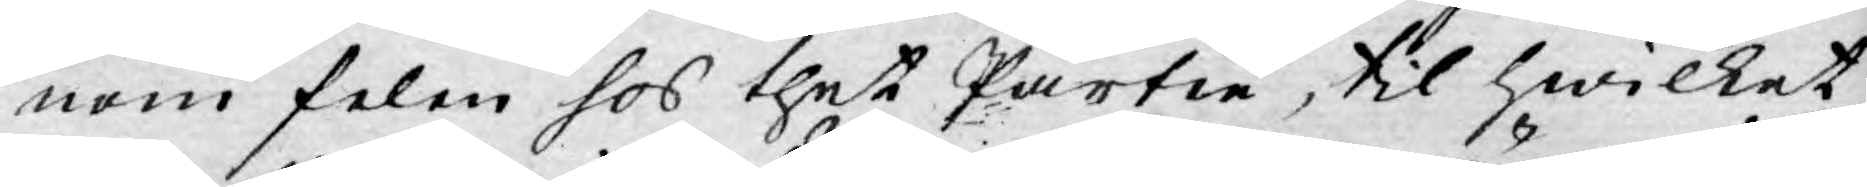nom felen hos thet Partie, til hwilket
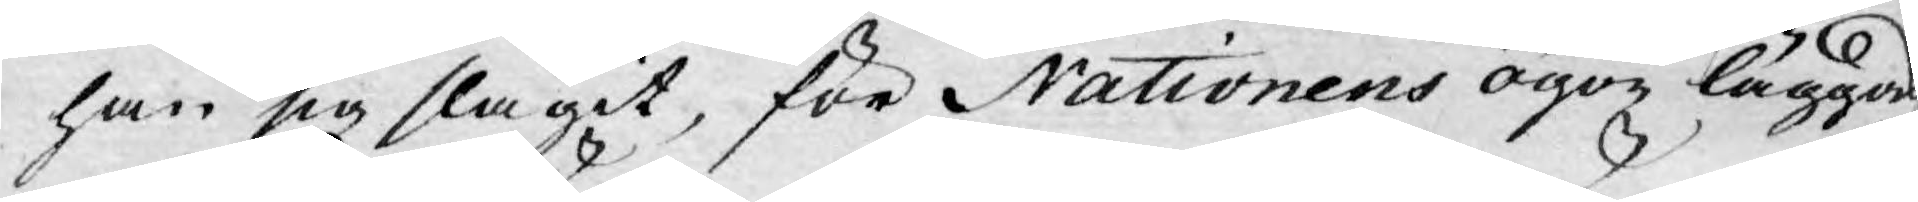han sig slagit, för Nationens ögon lägga.
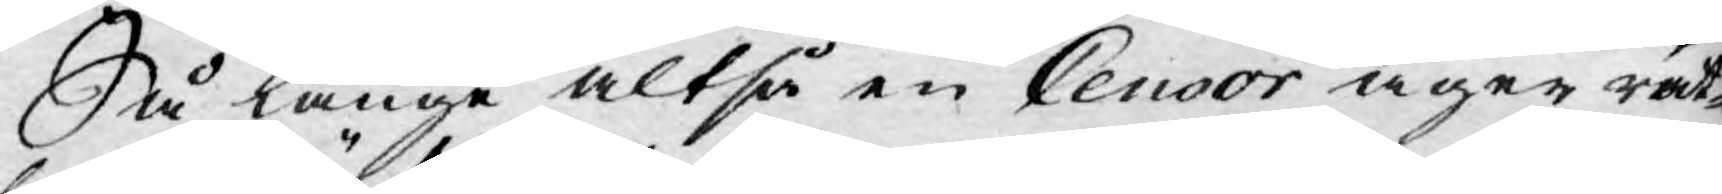Så länge altså en Censor äger rät¬
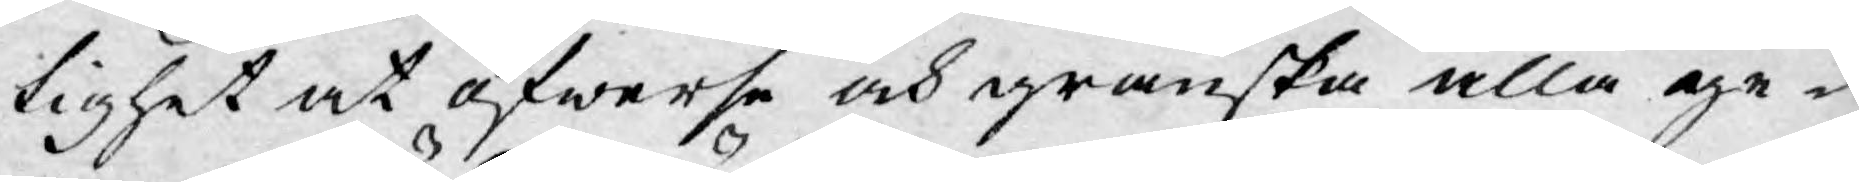tighet at öfwerse och granska alla ge¬
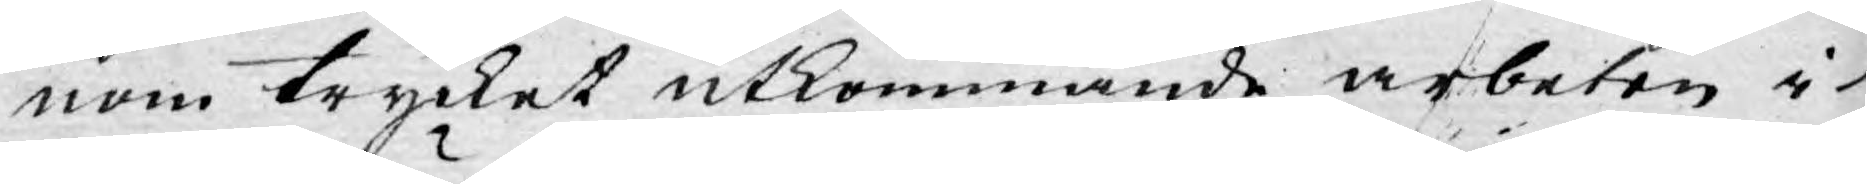nom trycket utkommande arbeten i
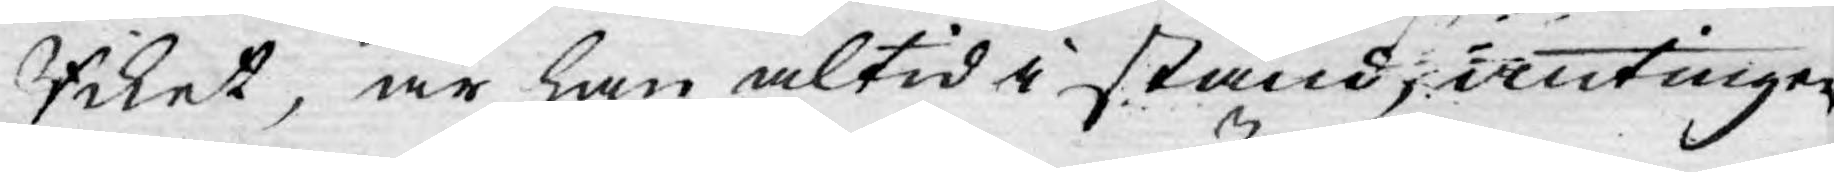Riket, är han altid i stånd, antingen
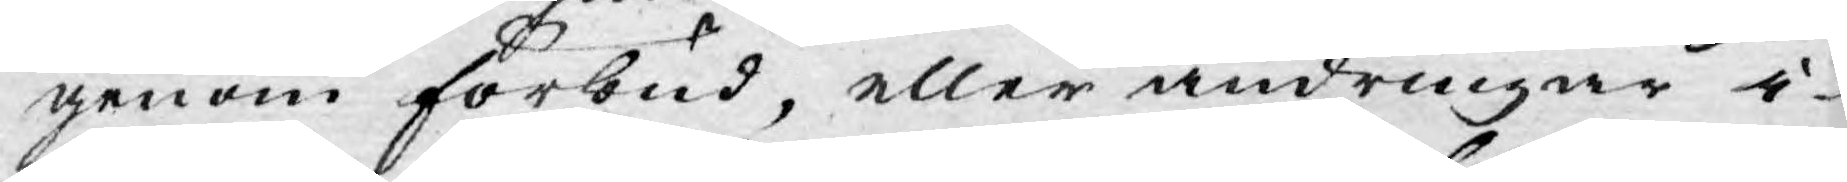genom förbud, eller ändringar i
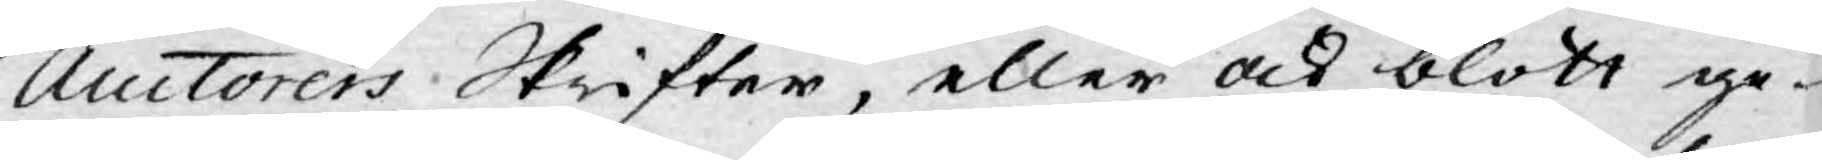Auctorers Skrifter, eller ock blott ge¬
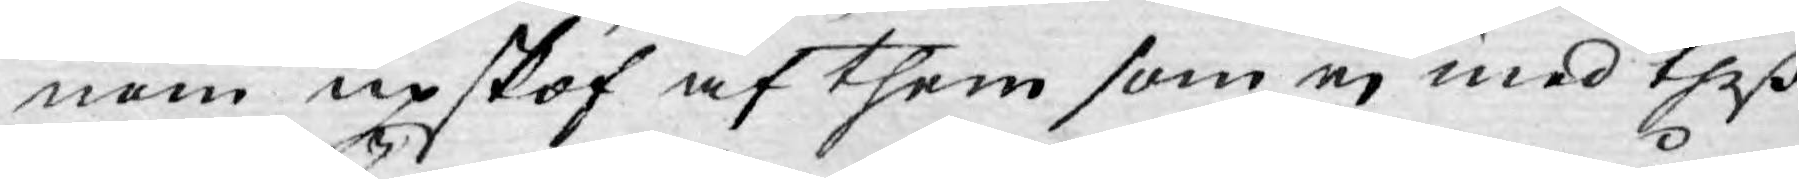nom upskof af them som ej med theß
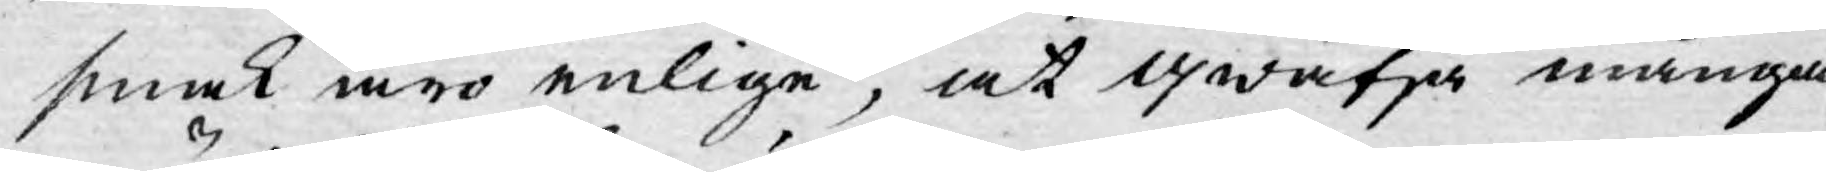smak äro enlige, at qwätja många
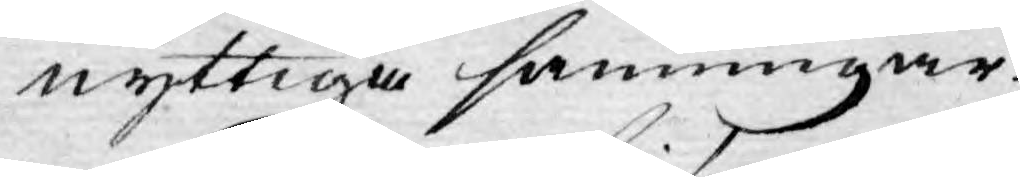nyttiga sanningar.
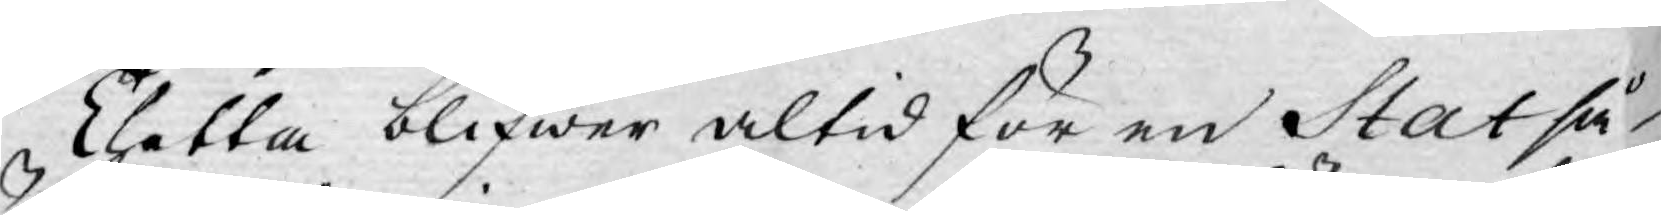Thetta blifwer altid för en Stat så
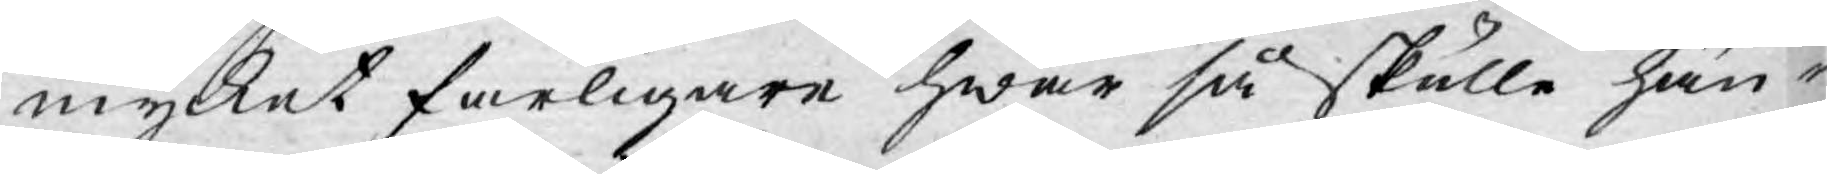mycket farligare hwar så skulle hän¬
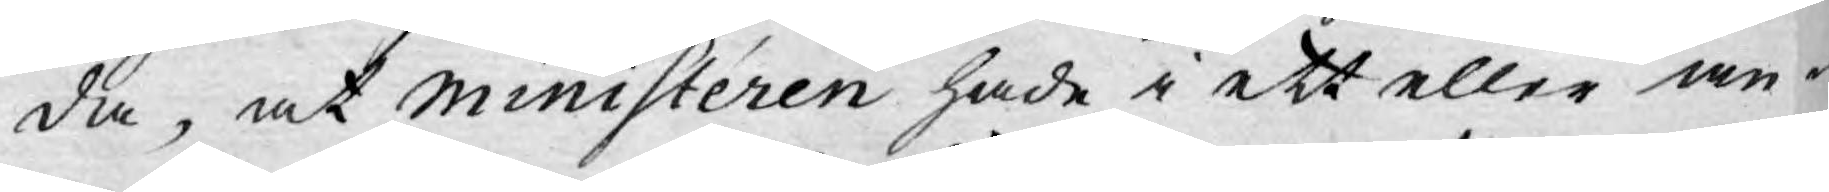da, at Ministeren hade i ett eller an¬
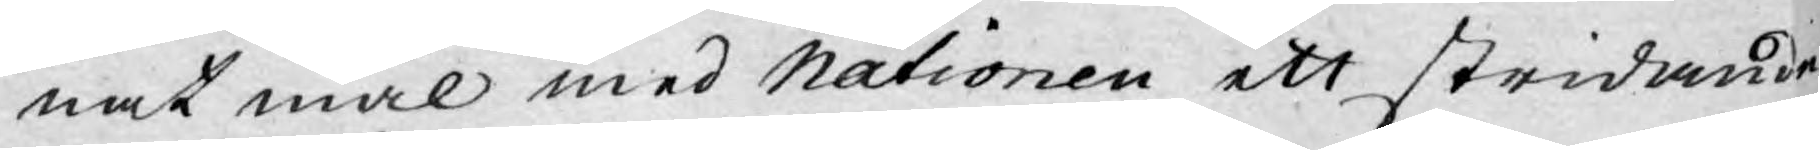nat mål med Nationen ett stridande
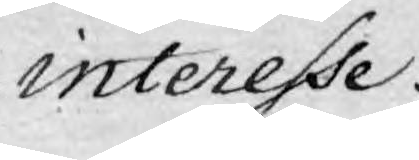interesse.
